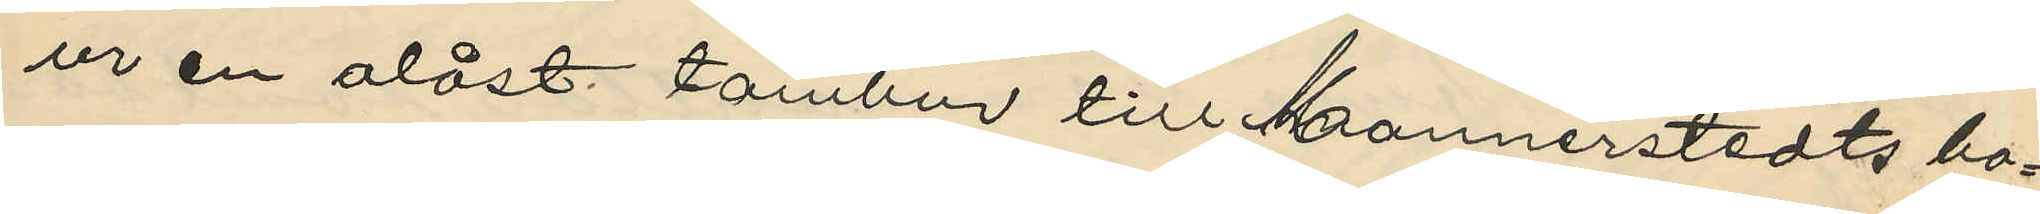ur en olåst tambur till Mannerstedts bo¬
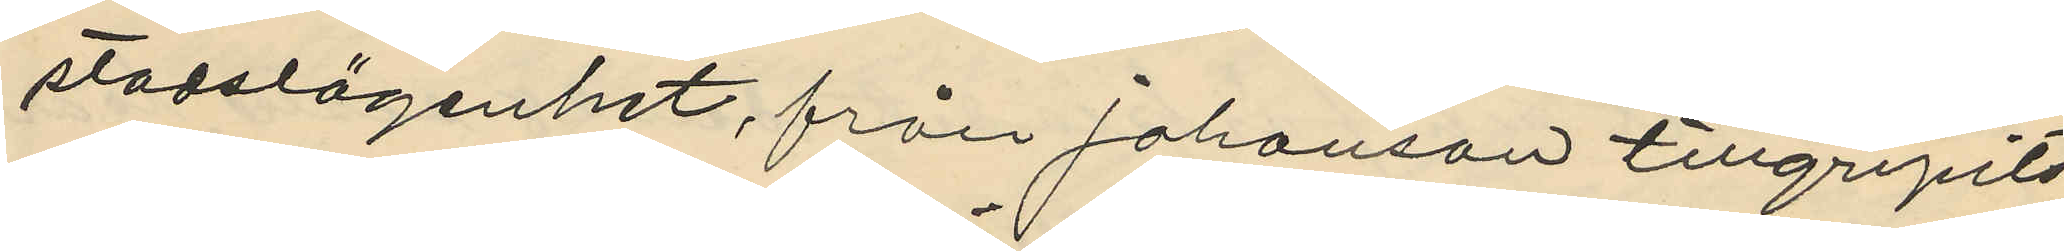stadslägenhet, från Johanson tillgripits
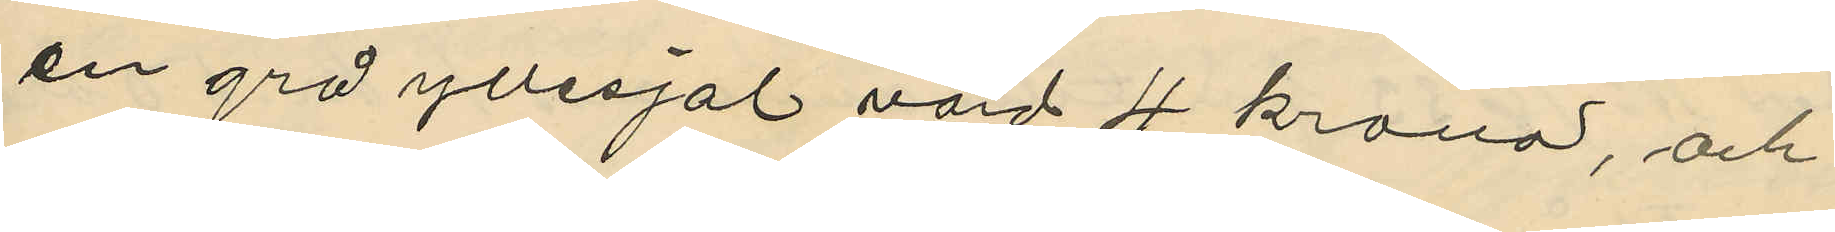en grå yllesjal värd 4 kronor, och
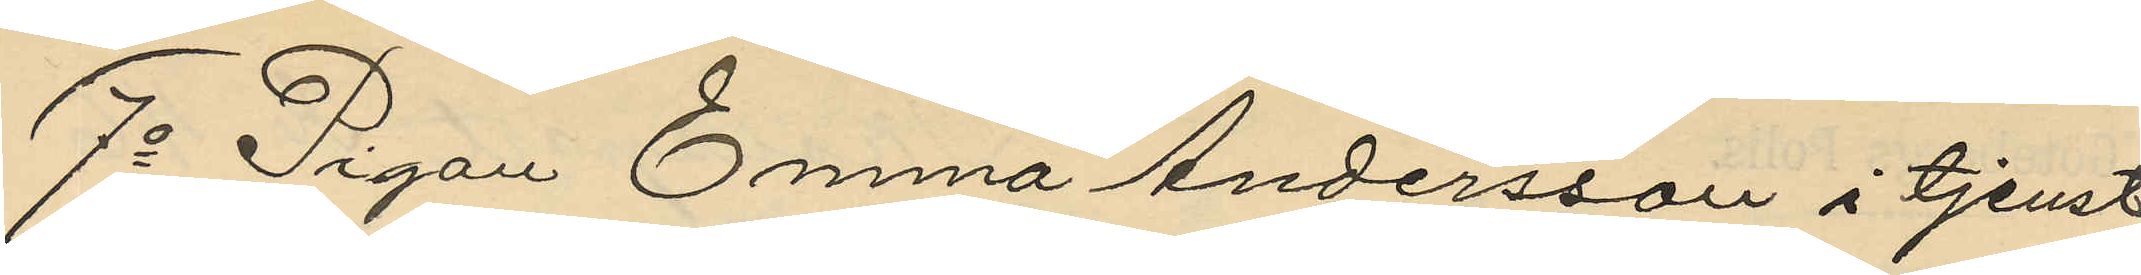7o Pigan Emma Andersson i tjenst
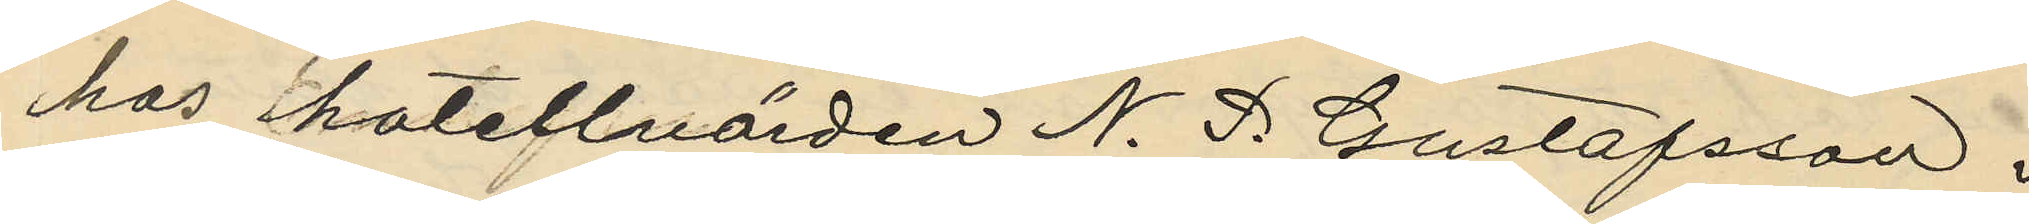hos hotellvärden N. P. Gustafsson i
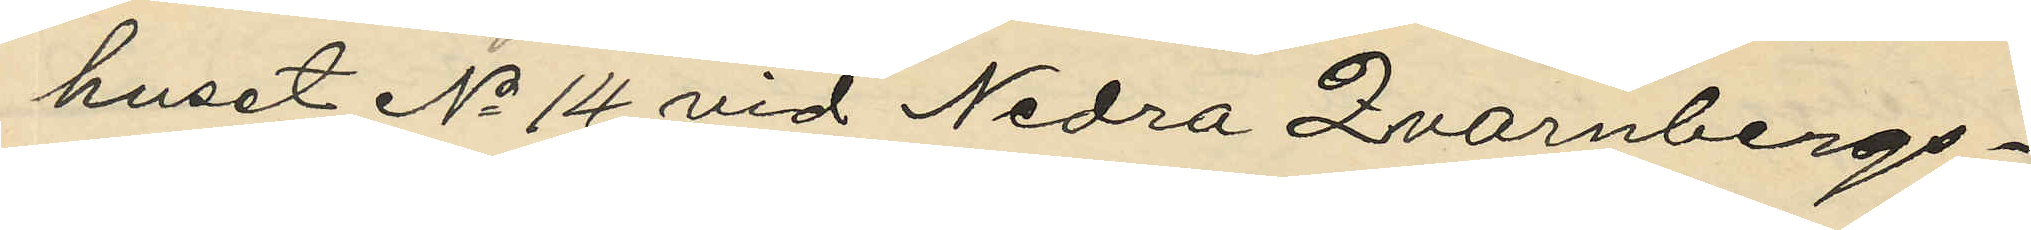huset No 14 vid Nedra Qvarnbergs¬
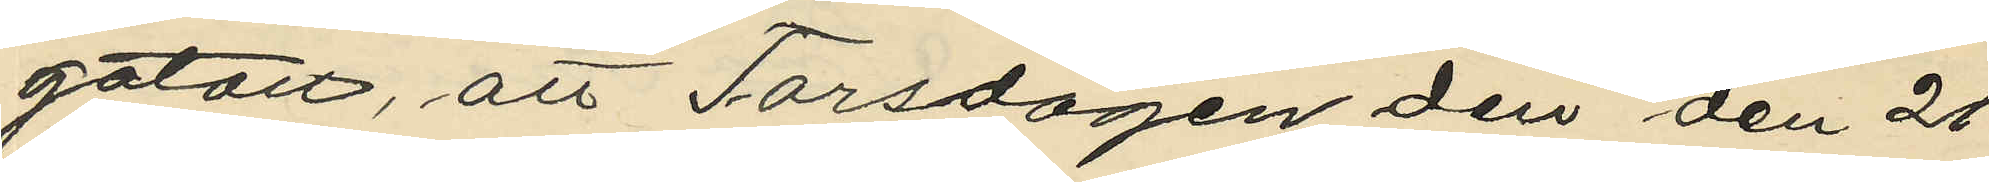gatan, att Torsdagen den den 21
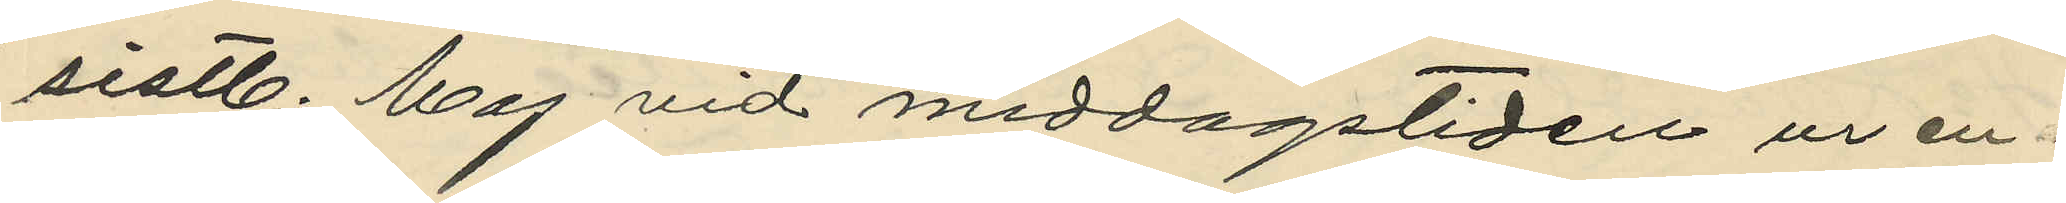sistl. Maj vid middagstiden ur en
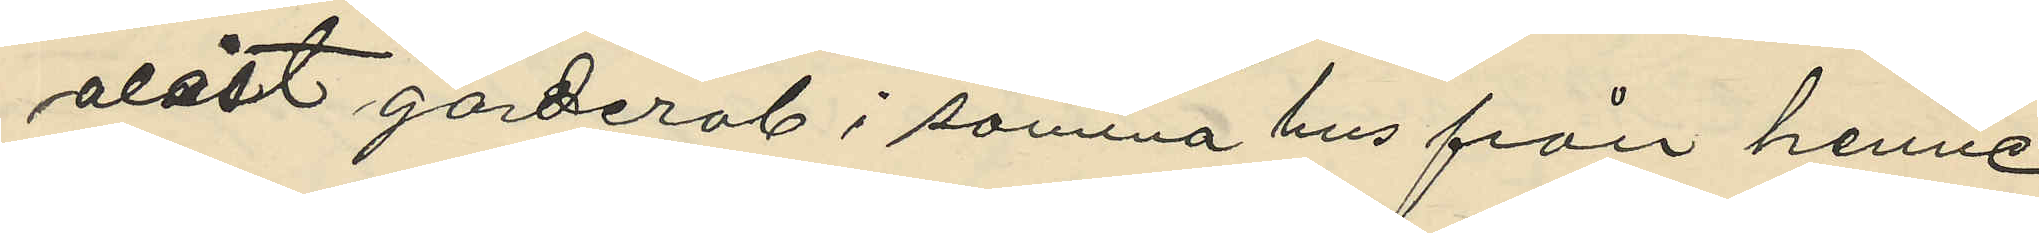olåst garderob i samma hus från henne
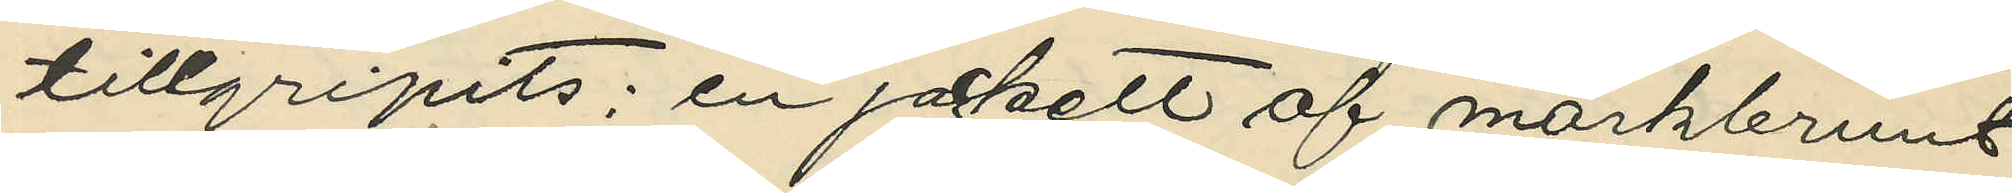tillgripits: en jackett af mörkbrunt
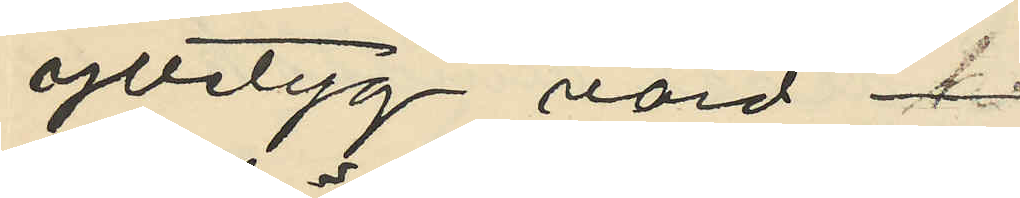ylletyg värd
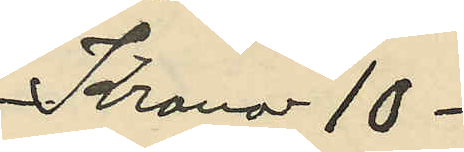Kronor 10 -
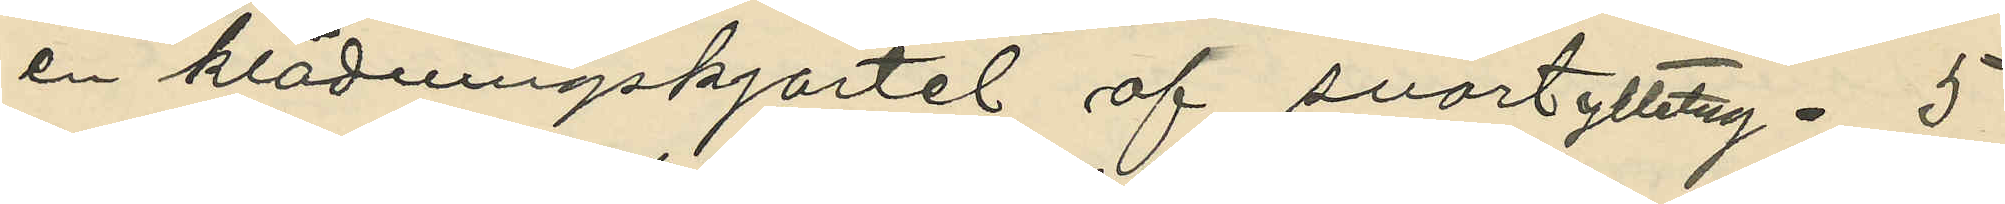en klädningskjortel af svart ylletug - 5
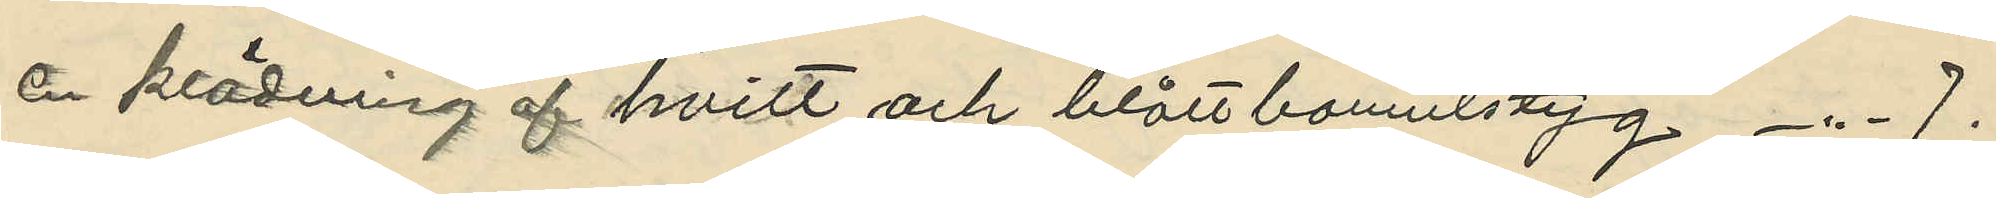å klädning af hvitt och blått bomulstyg -"- 7.
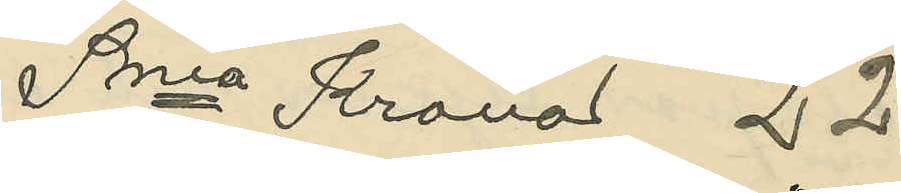Sma Kronor 22.
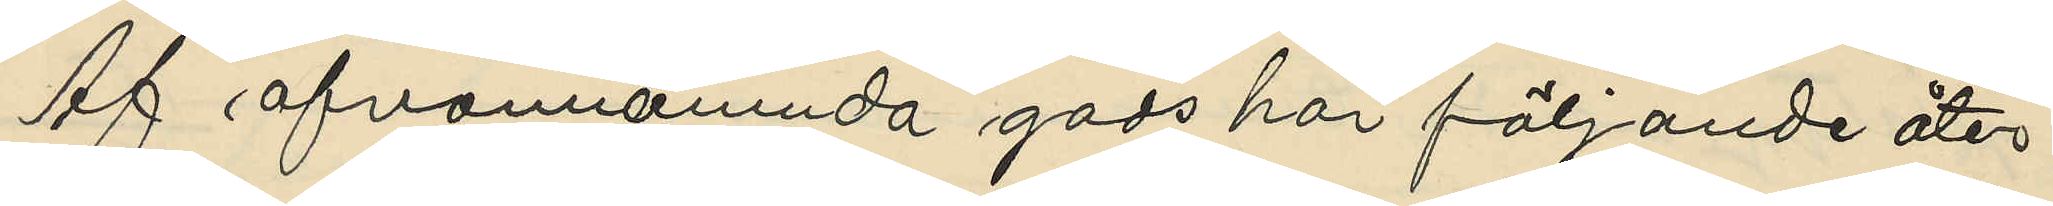Af ofvannämnda gods har följande åter¬
